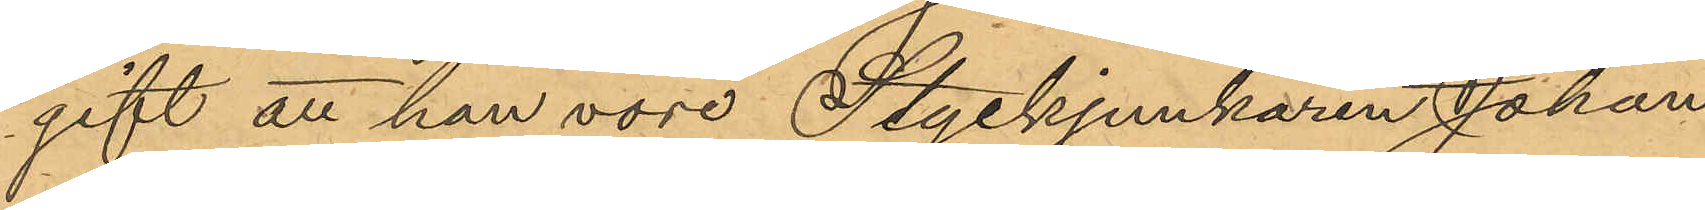gift att han vore Styckjunkaren Johan
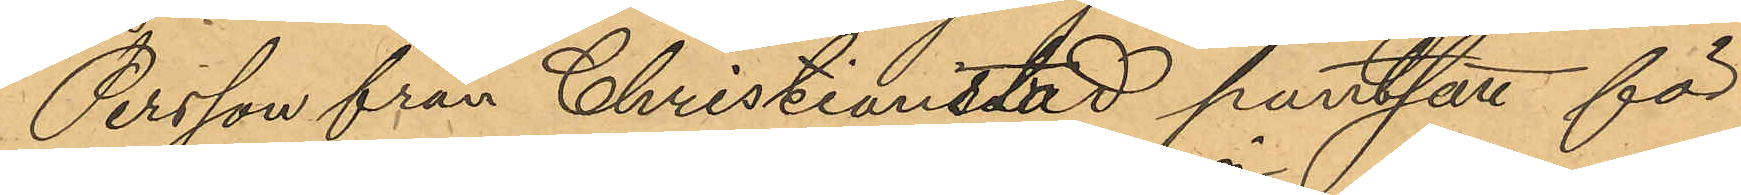Persson från Christianstad pantsatt för
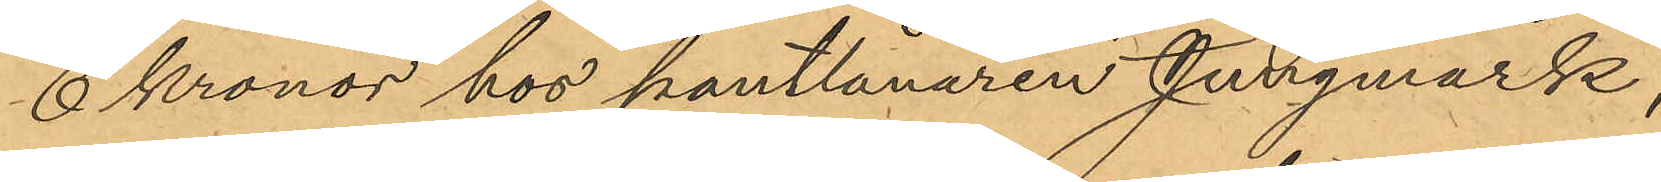6 Kronor hos pantlånaren Jungmark,
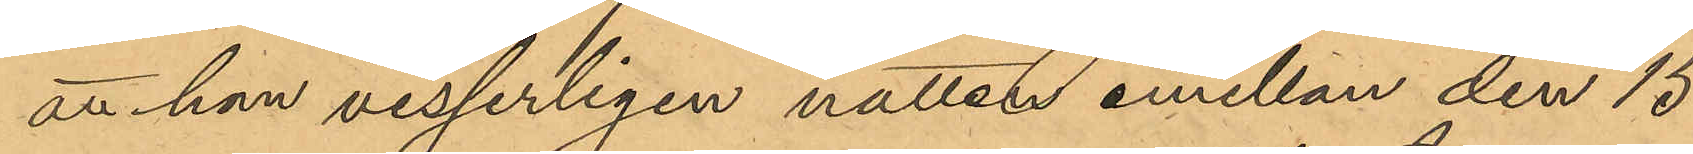att han visserligen natten emellan den 15
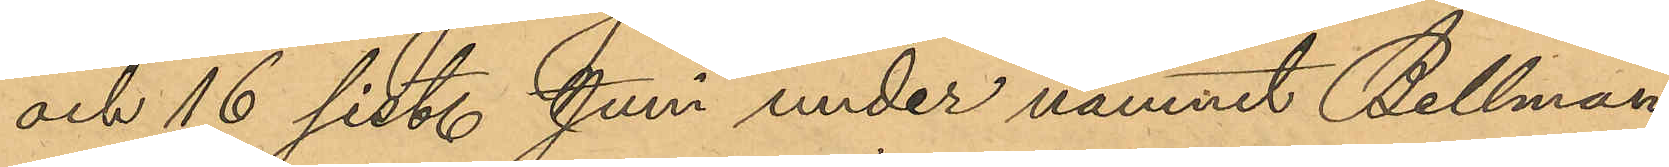och 16 sist. Juni under namnet Bellman
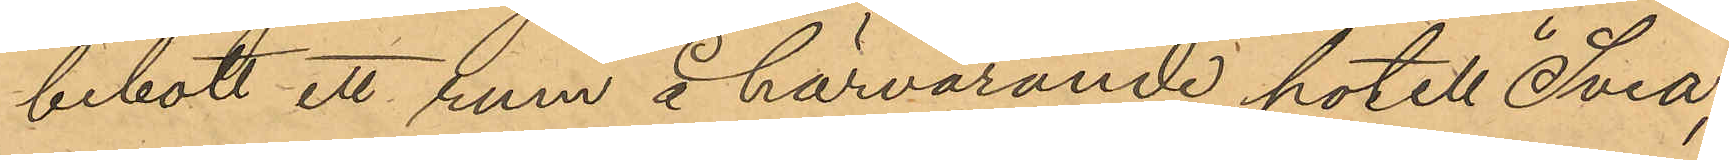bebott ett rum å härvarande hotell "Svea",
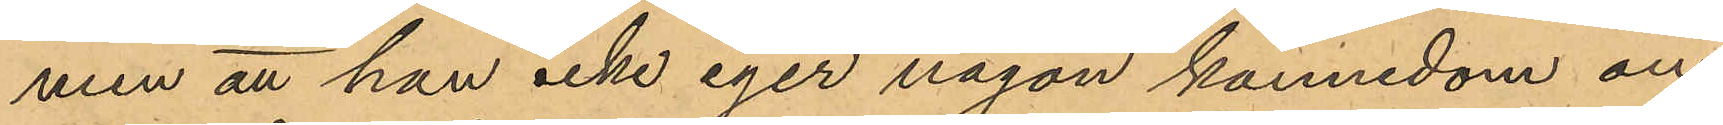men att han icke eger någon kännedom om
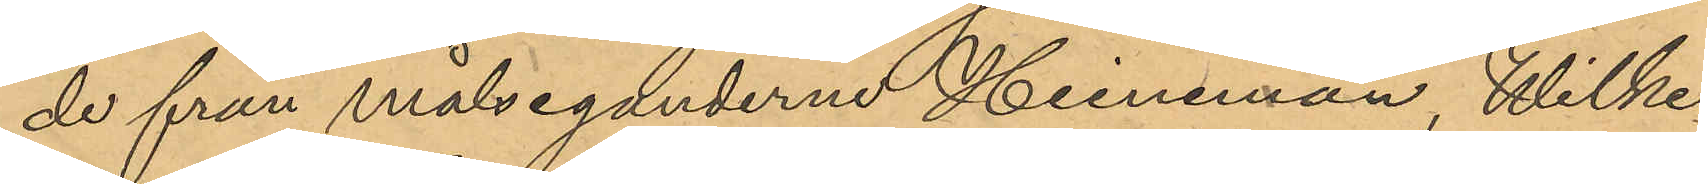de från målseganderne Heineman, Wilke
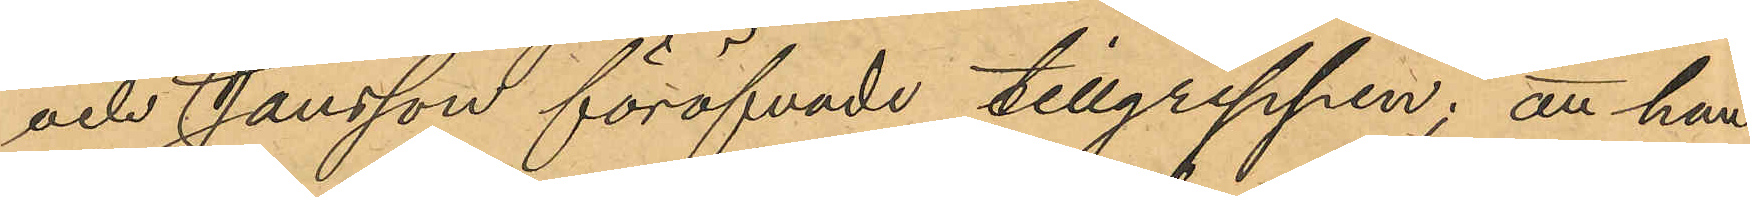och Jansson föröfvade tillgreppen; att han
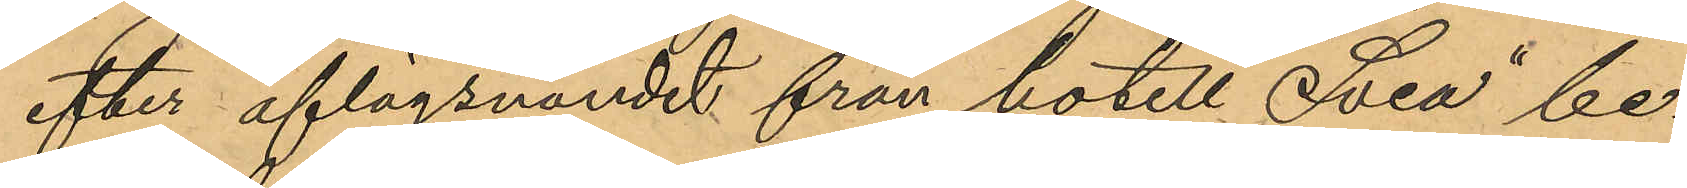efter aflägsnandet från hotell "Svea" be¬
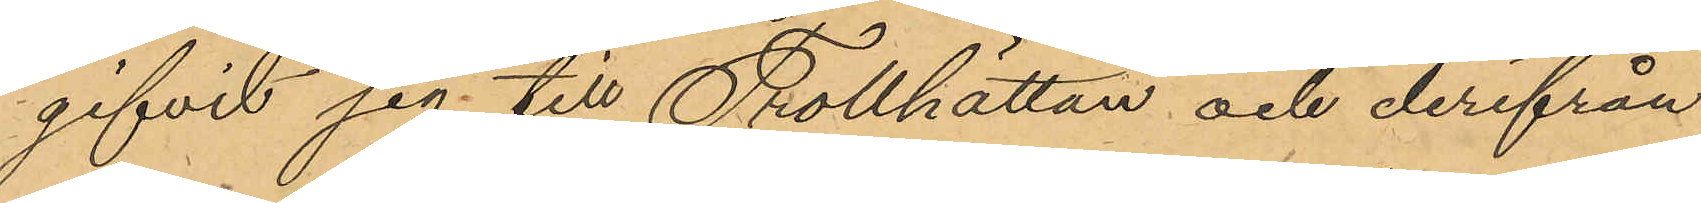gifvit sig till Thollhättan och derifrån
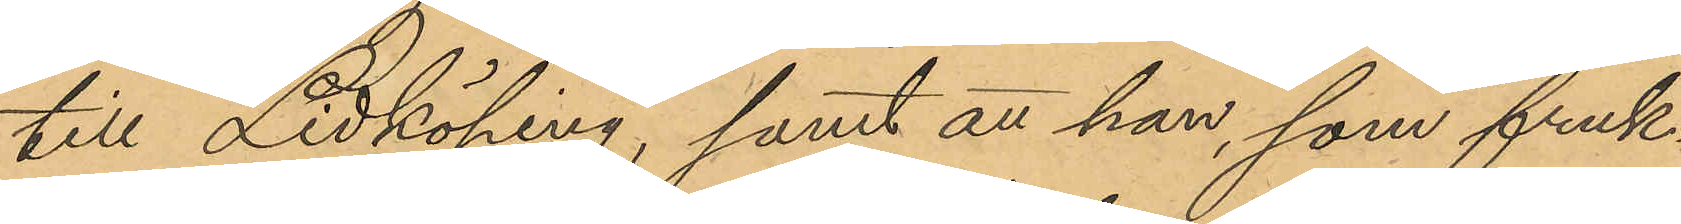till Lidköping, samt att han, som fruk¬
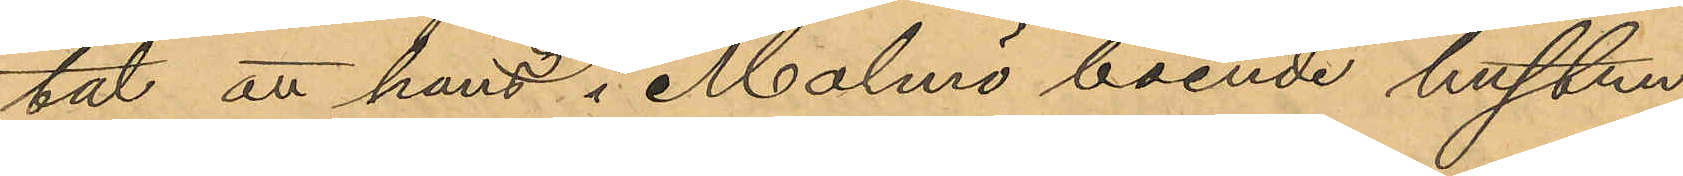tat att hans i Malmö boende hustru
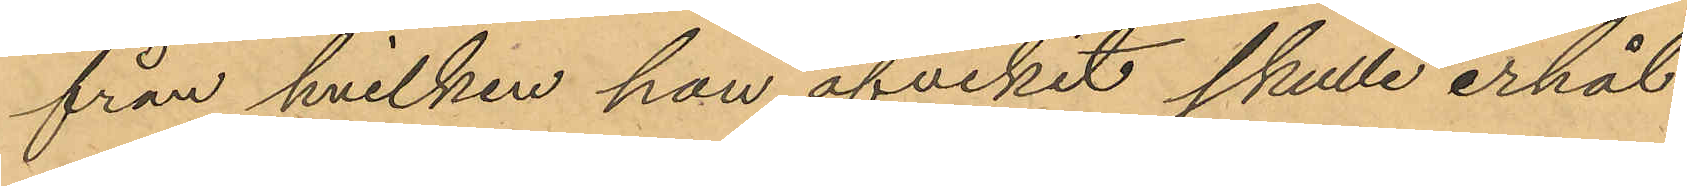från hvilken han afvikit skulle erhål¬
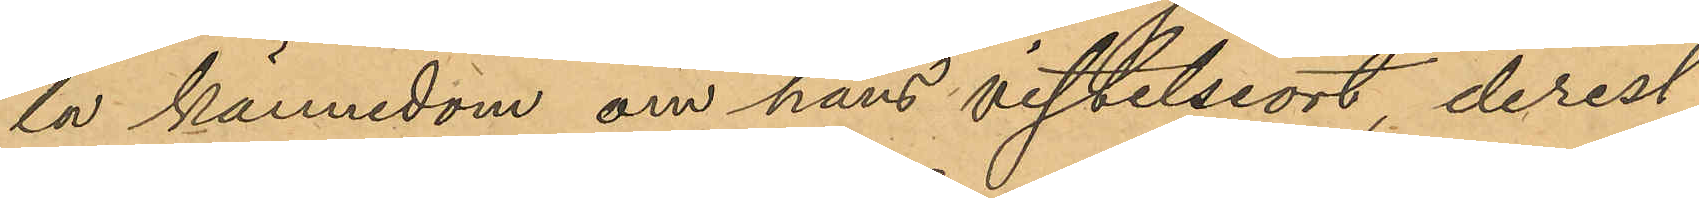la kännedom om hans vistelseort derest
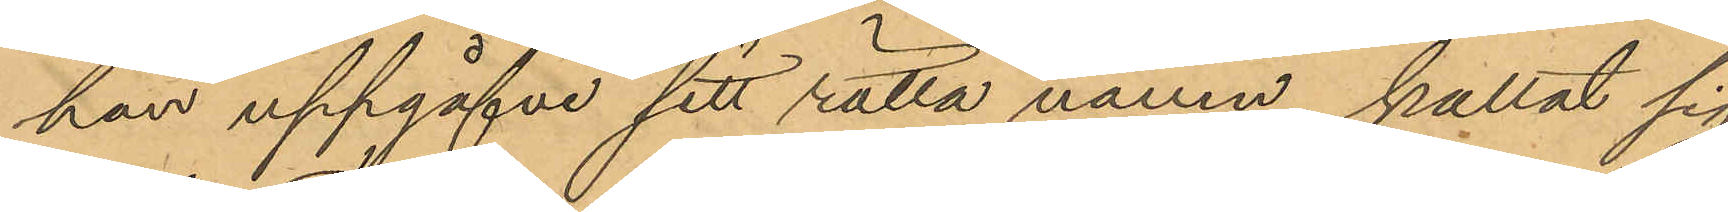han uppgåfve sitt rätta namn kallat sig
